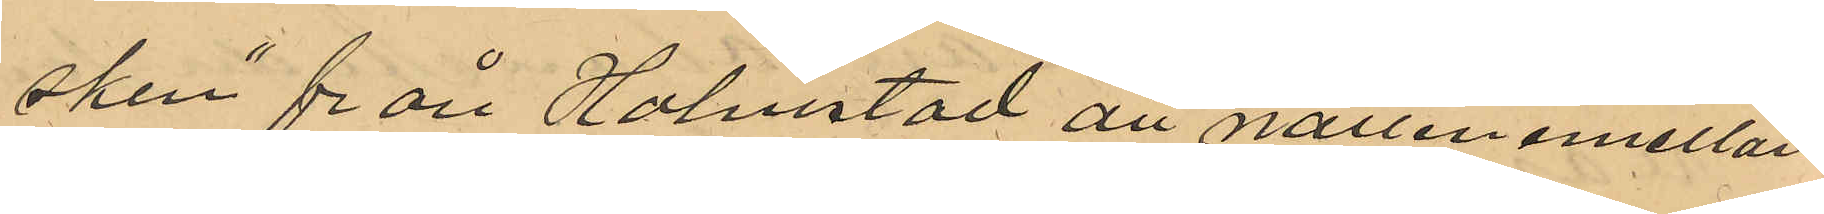sken" från Halmstad att natten emellan
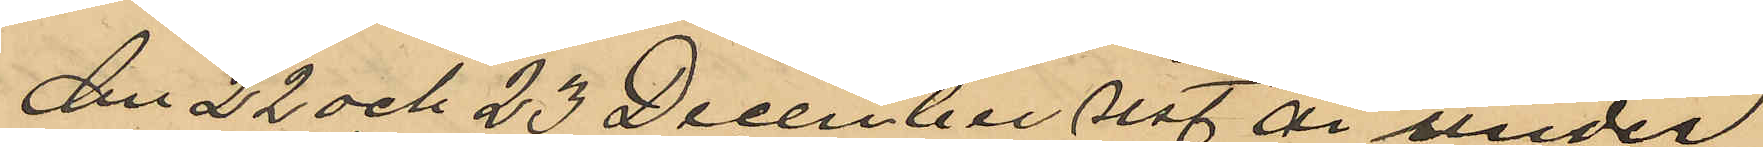den 22 och 23 December sist år under
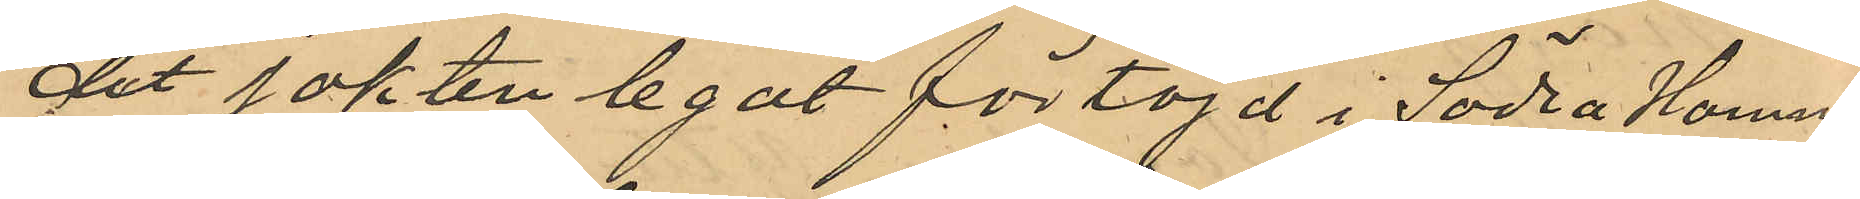det jakten legat förtöjd i Södra Hamn
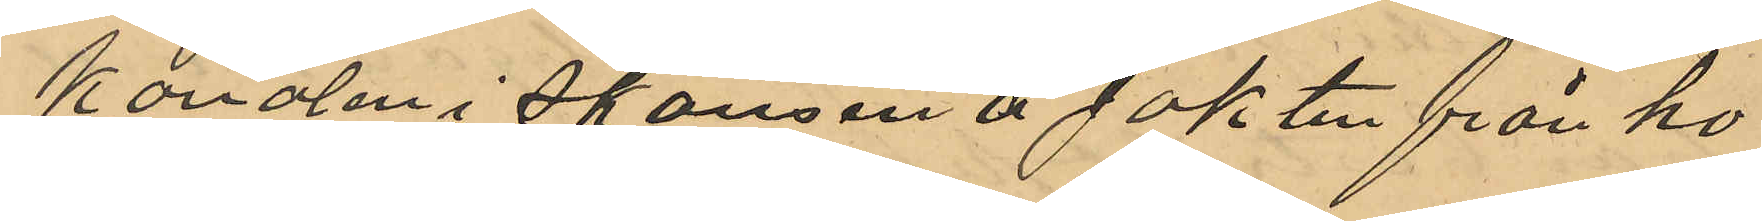kanalen i skansen å jakten från ho¬
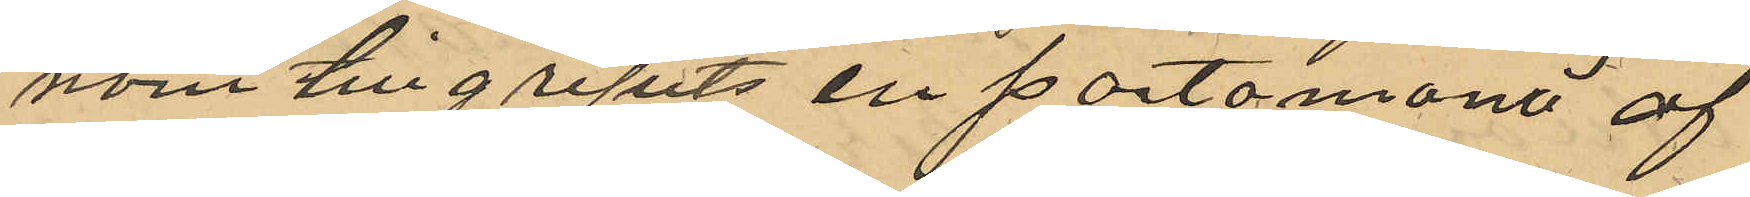nom tillgripits en portomonä af
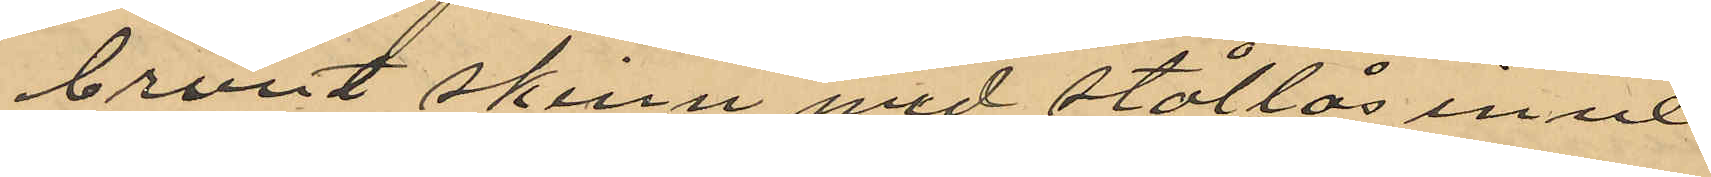brunt skinn med stållås inne¬
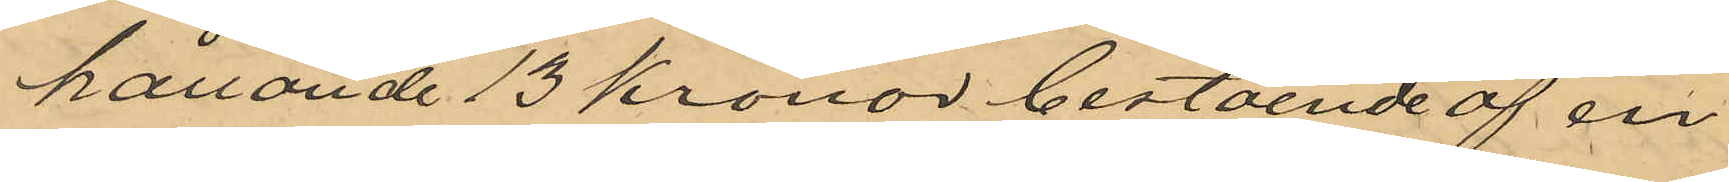hållande 13 kronor bestående af en
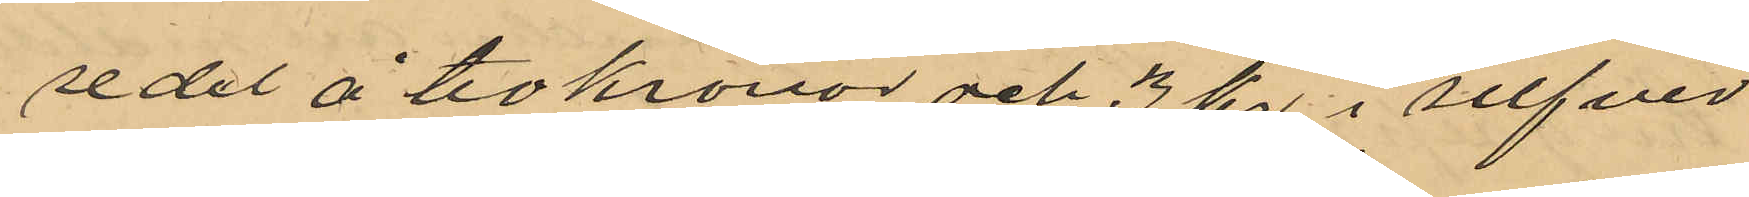sedel å tio kronor och 3 kr i silfver
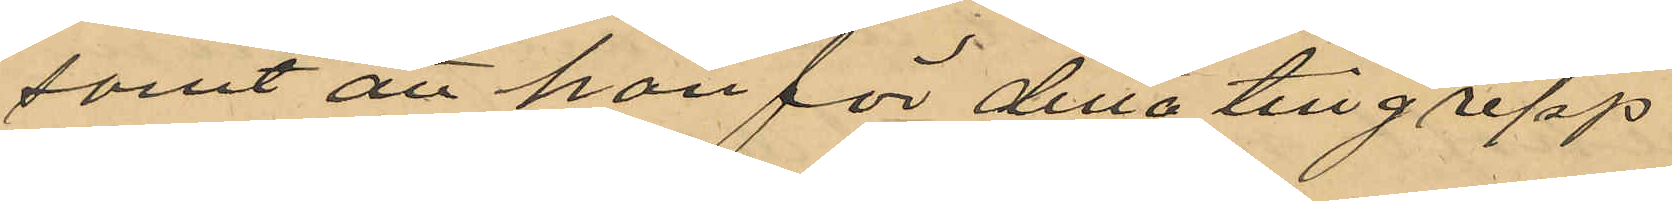msat att han för detta tillgrepp
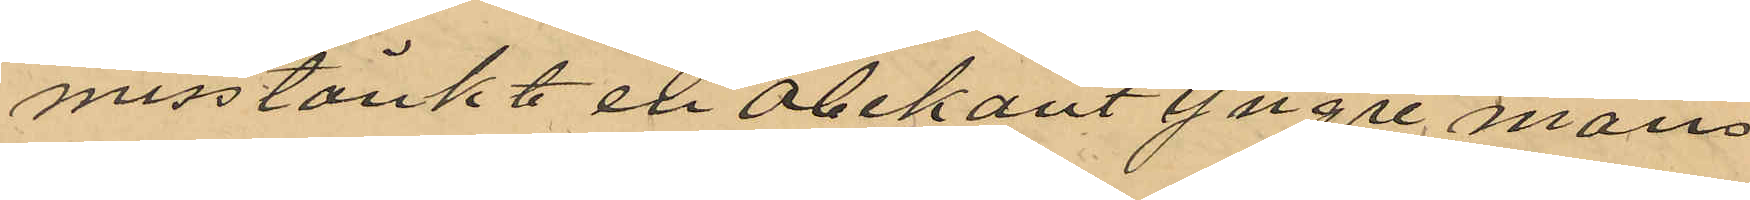misstänkt en obekant yngre mans
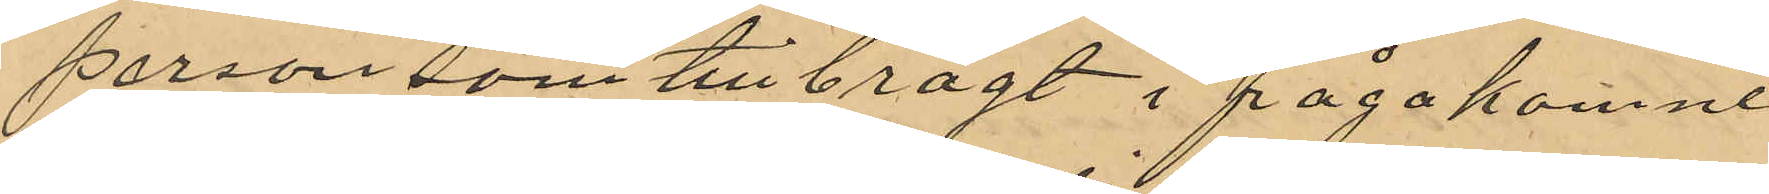person som tillbragt ifrågakomne
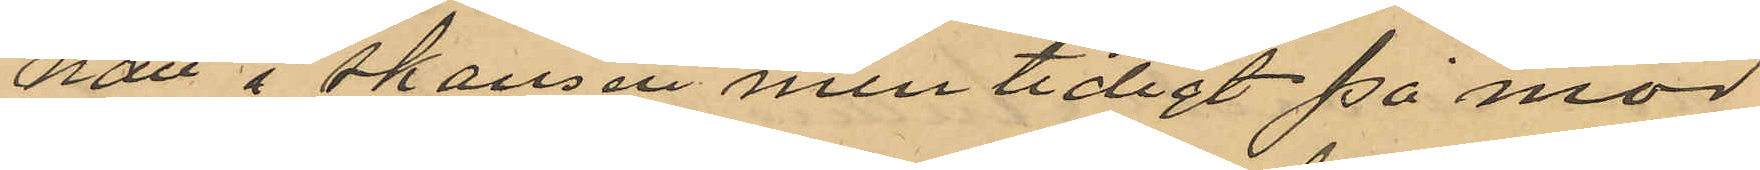natt i skansen men tidigt på mor
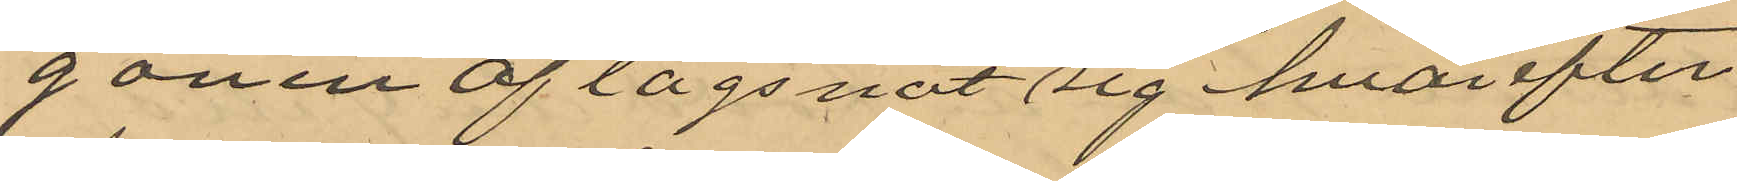gonen aflägsnat sig hvarefter
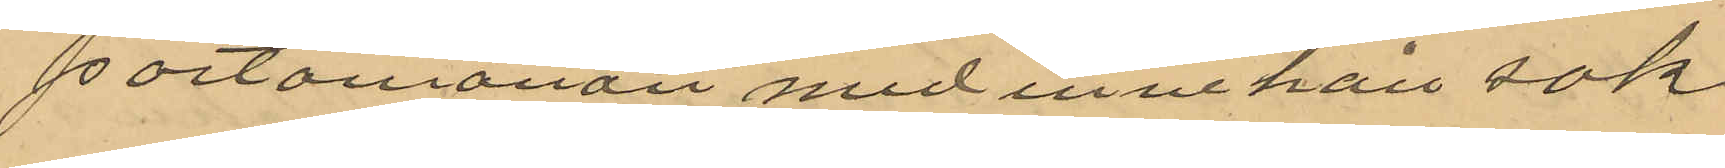portomonän med innehåll sak
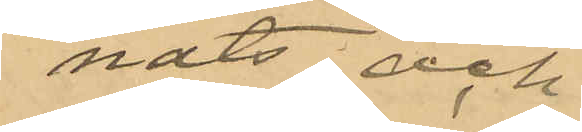nats och
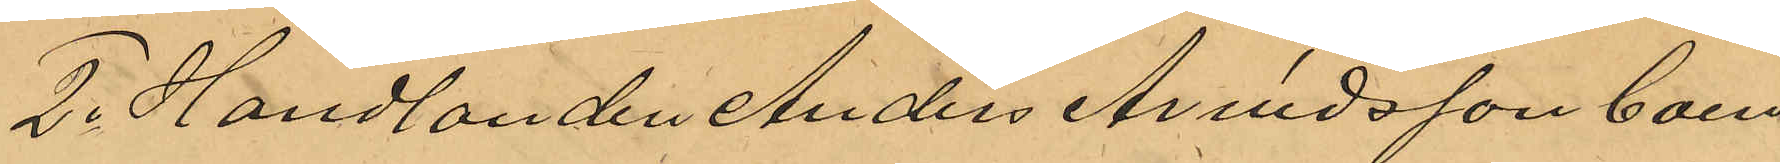2o Handlanden Anders Arvidsson boen¬
